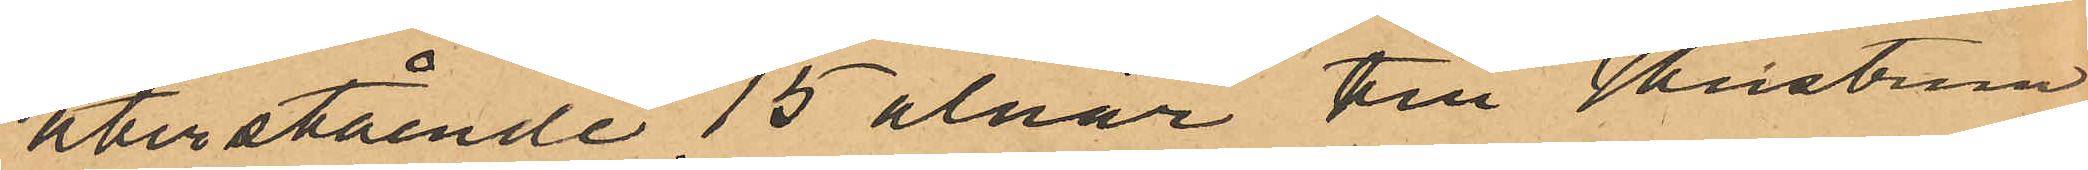återstående 15 alnar till Hustrun
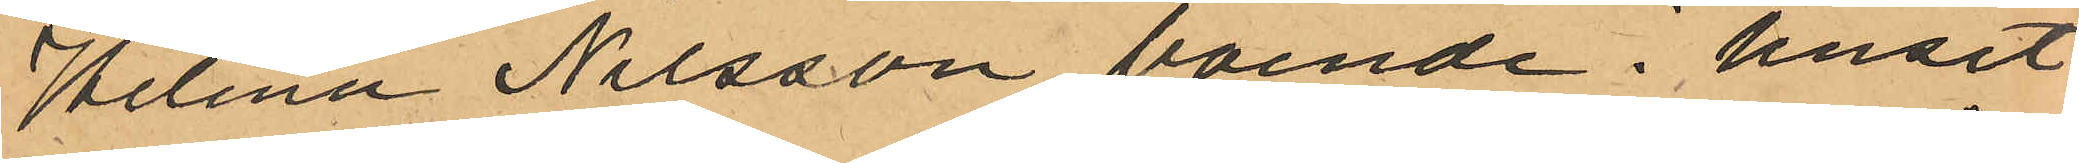Helena Nilsson boende i huset
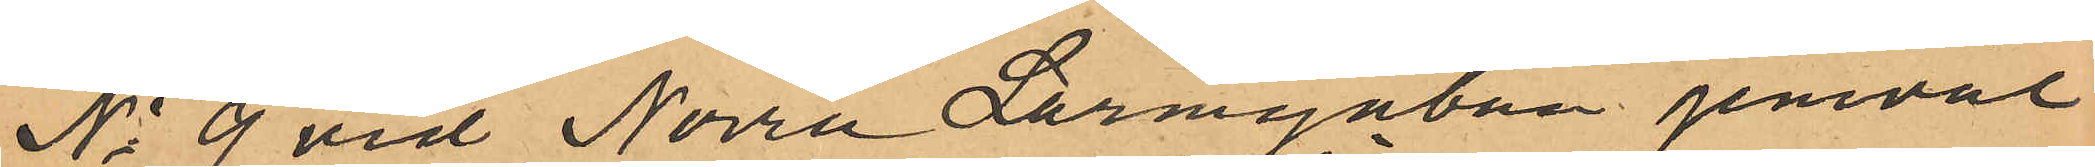No 9 vid Norra Larmgatan jemväl
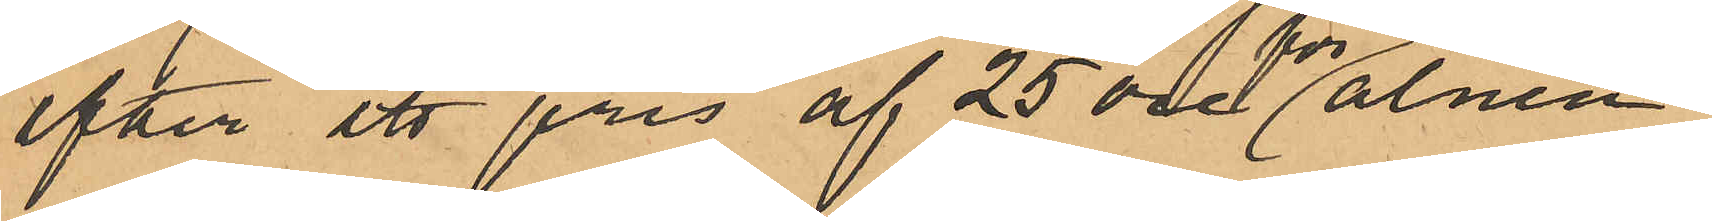efter ett pris af 25 öre för alnen,
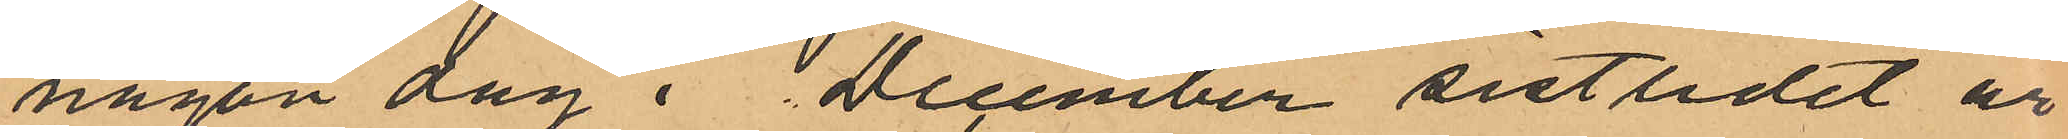någon dag i December sistlidet år
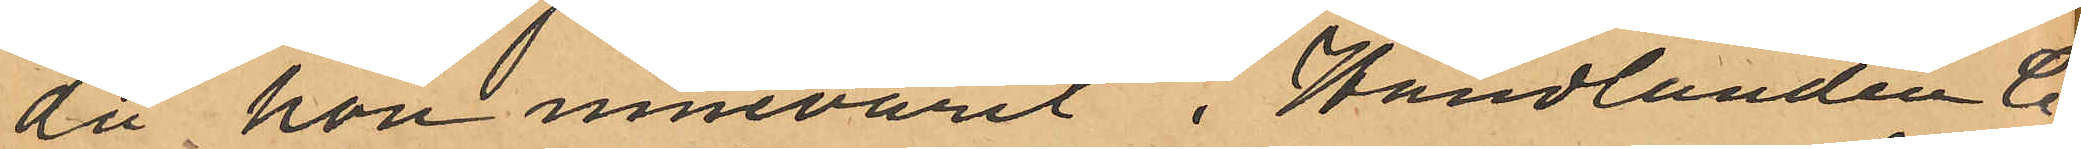då hon innevarit i Handlanden C
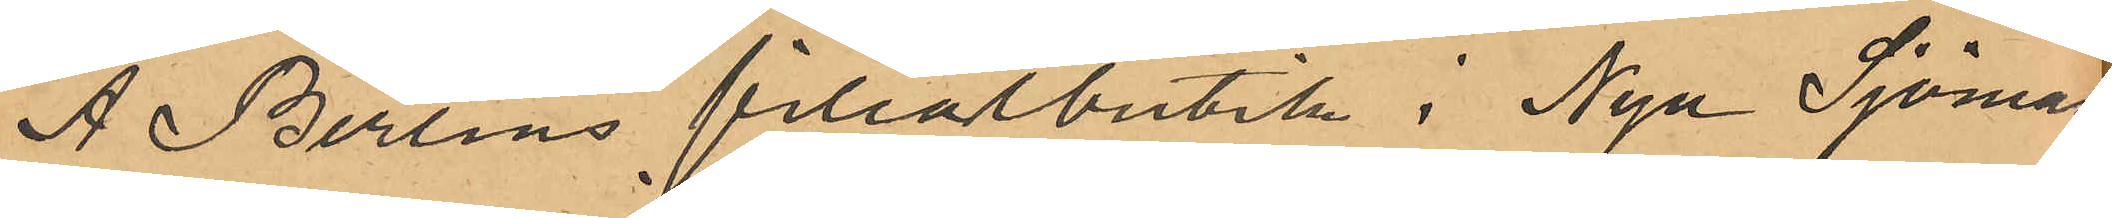A Berlins filialbutik i Nya Sjömans¬
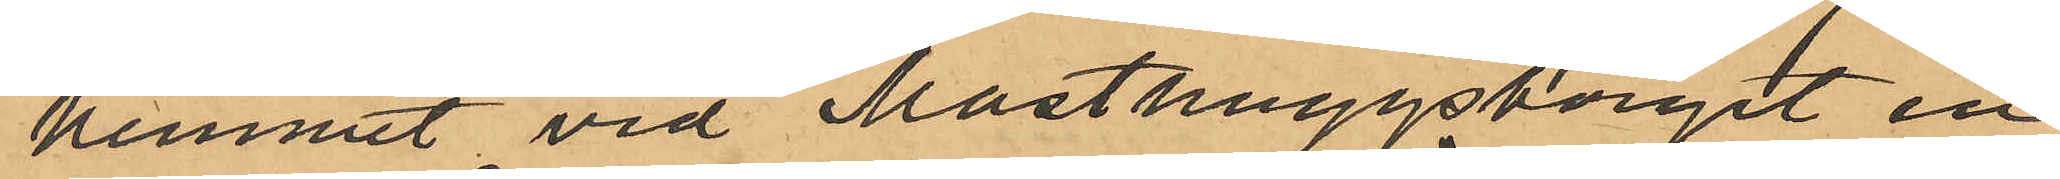hemmet vid Masthuggstorget en
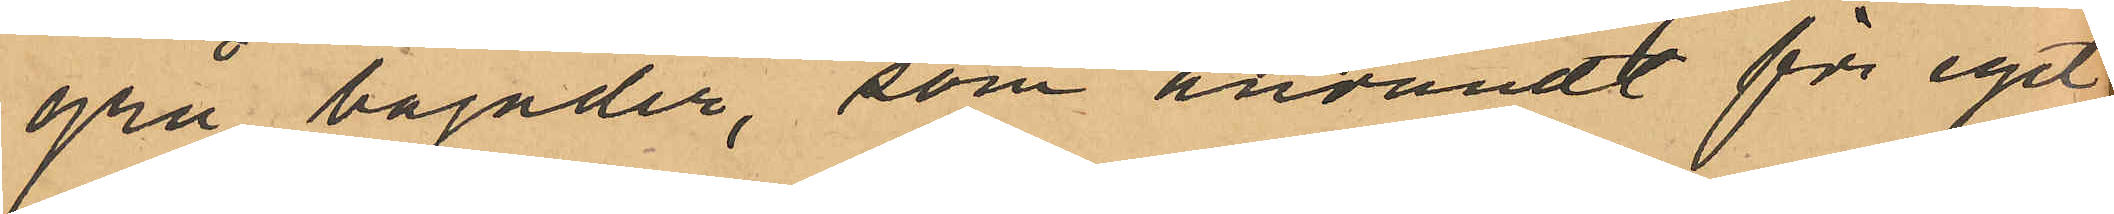grå bajader, som användt för eget
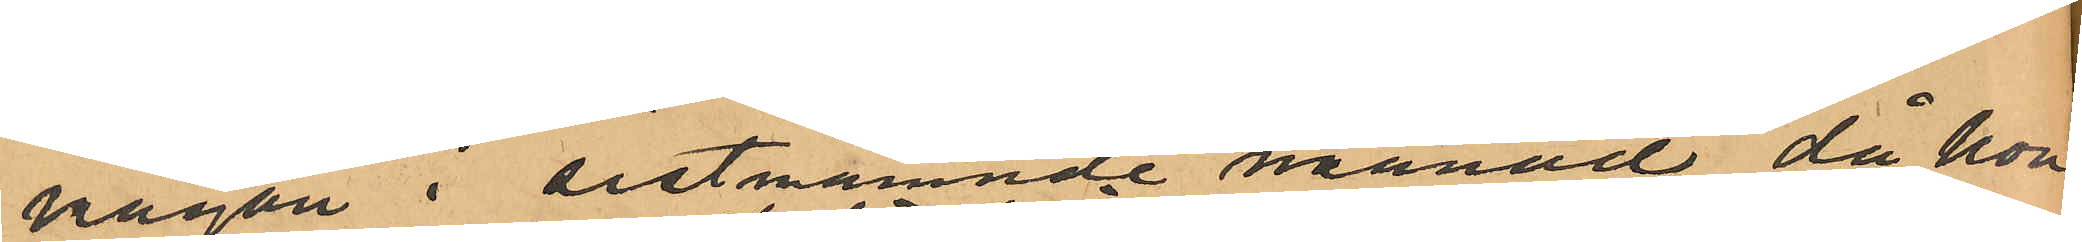någon i sistnämnde månad, då hon
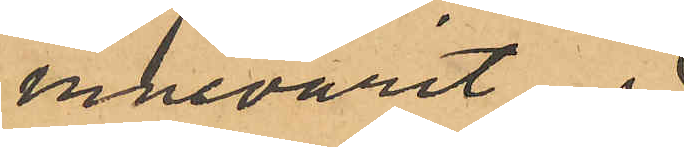innevarit
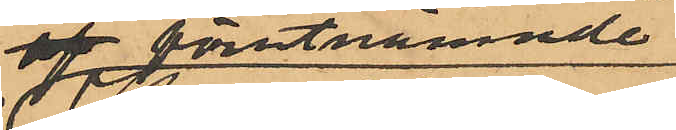i förutnämnde
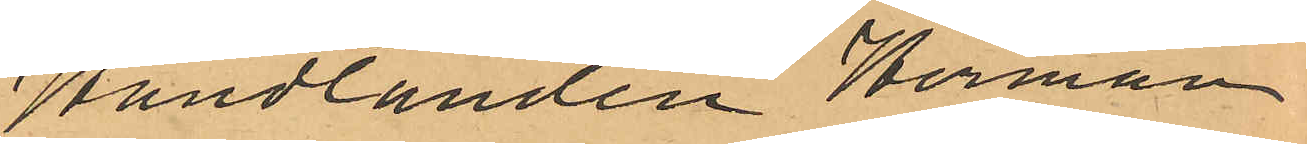Handlanden Herman
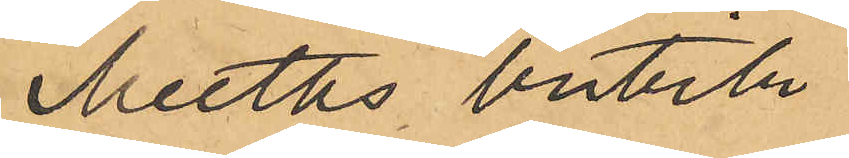Meeths butik
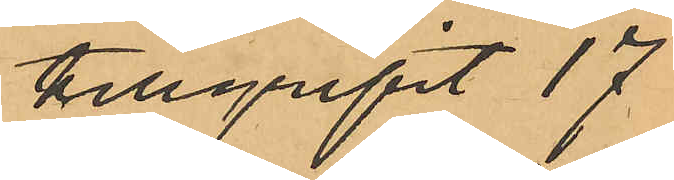tillgripit 17
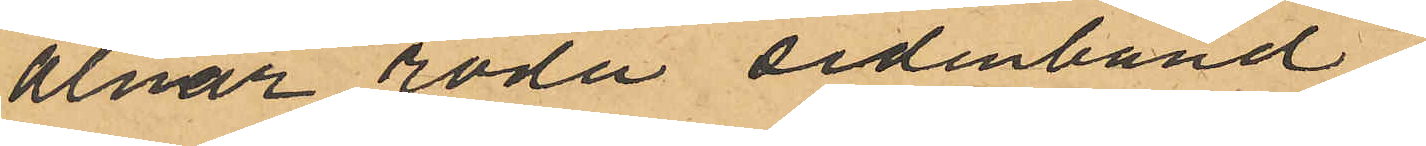alnar röda sidenband,
